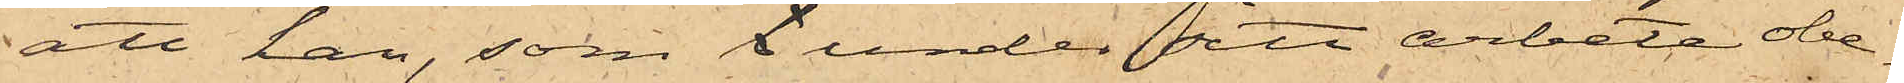att han, som k under sitt arbete obe¬
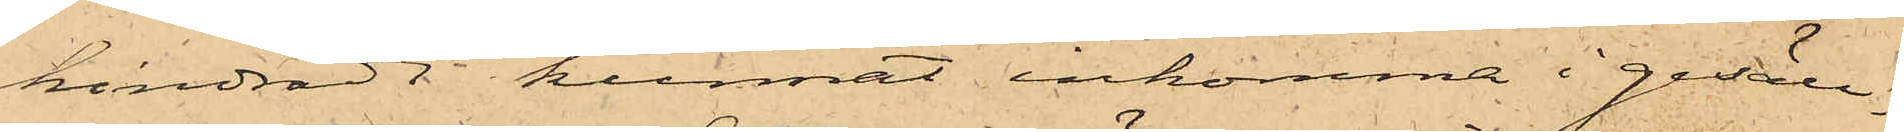hindradt kunnat inkomma i gesäll¬
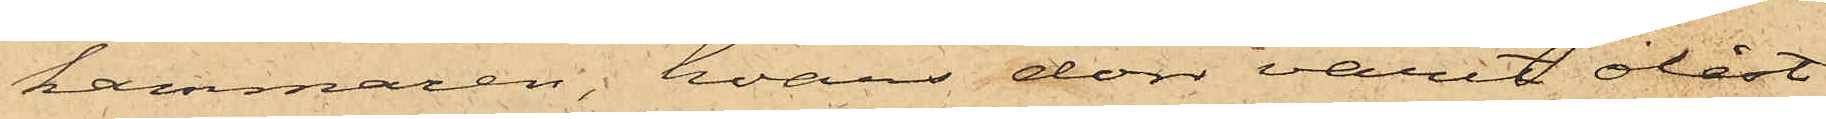kammaren, hvars dörr varit olåst,
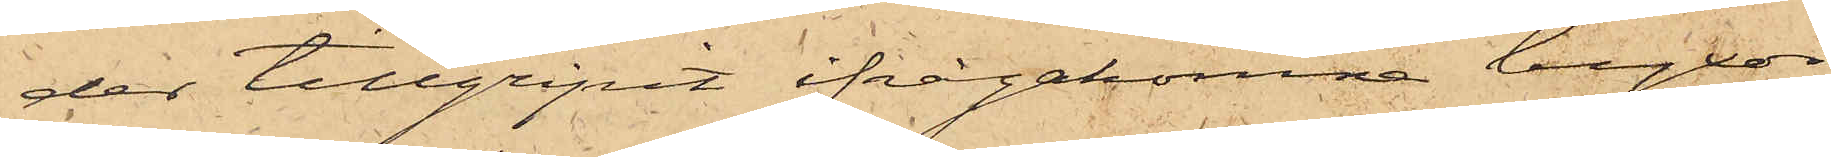der tillgripit ifrågakomne byxor,
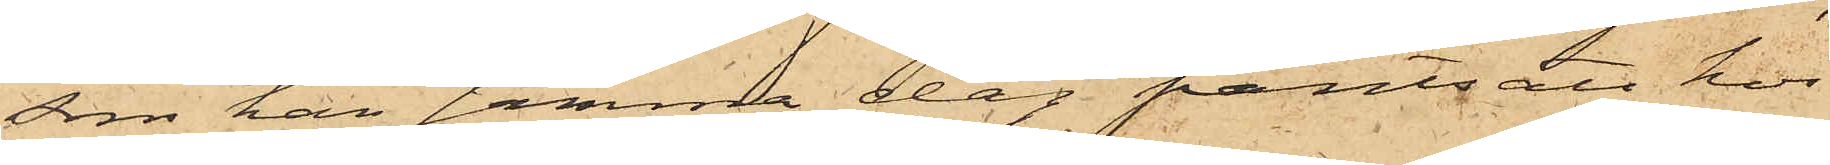som han samma dag pantsatt hos
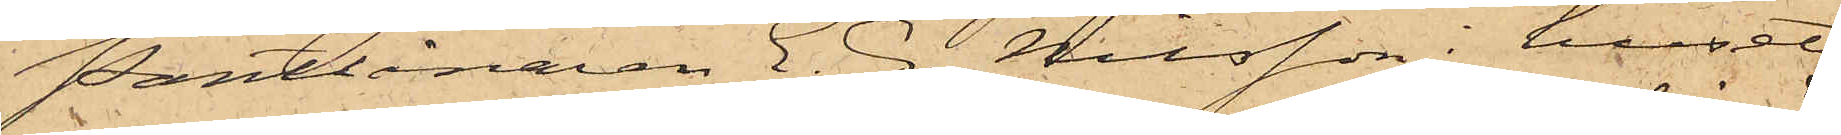Pantlånaren E. G. Nilsson i huset
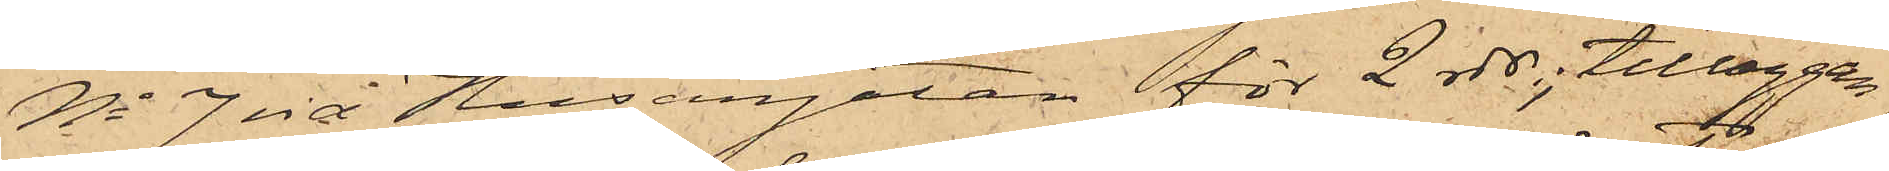No 7 vid Husargatan för 2 rdr, tilläggan¬
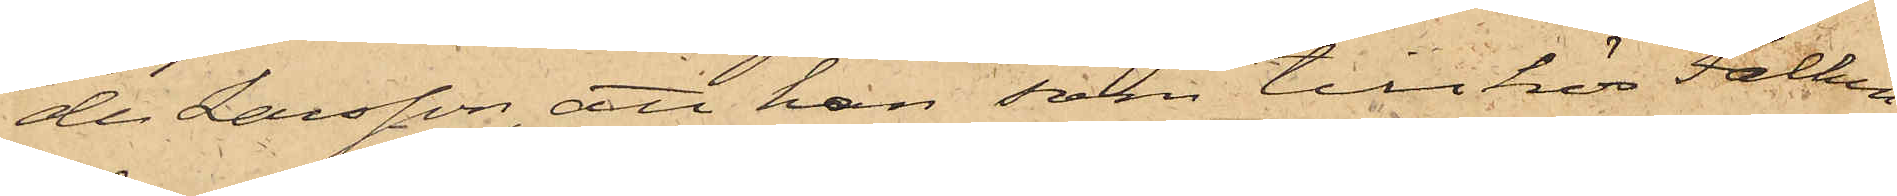der Larsson, att han, som tillhör Falken¬
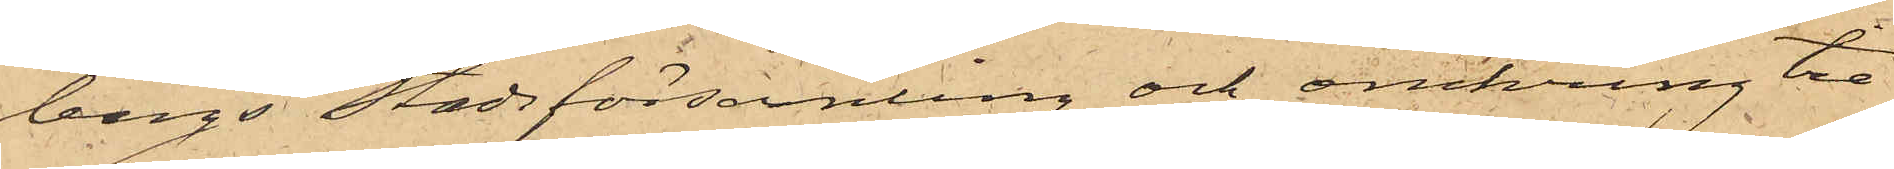bergs Stadsförsamling och omkring tre
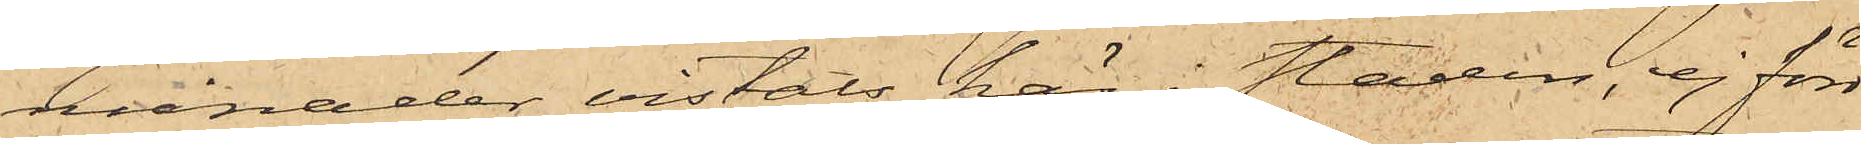månader vistats här i staden, ej förr
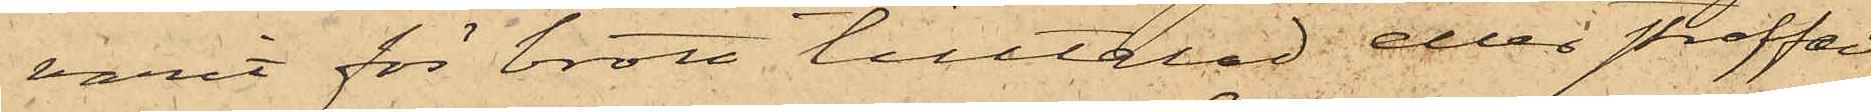varit för brott tilltalad eller straffad
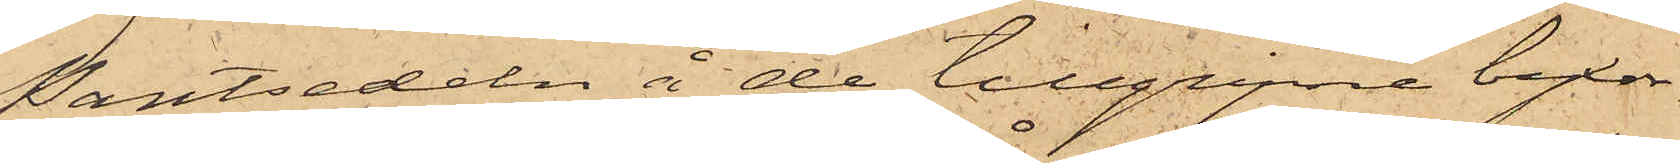Pantsedeln å de tillgripne byxor¬
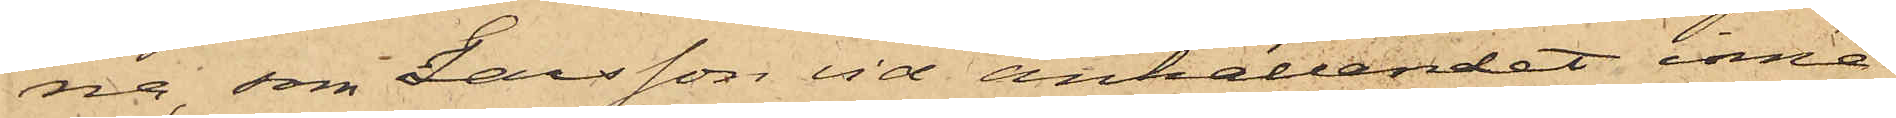na, som Larsson vid anhållandet inne¬
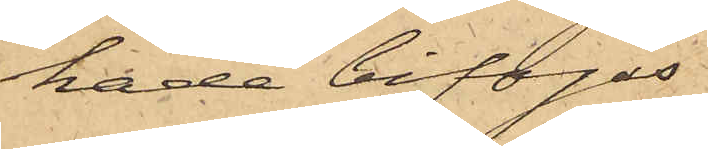hade bifogas.
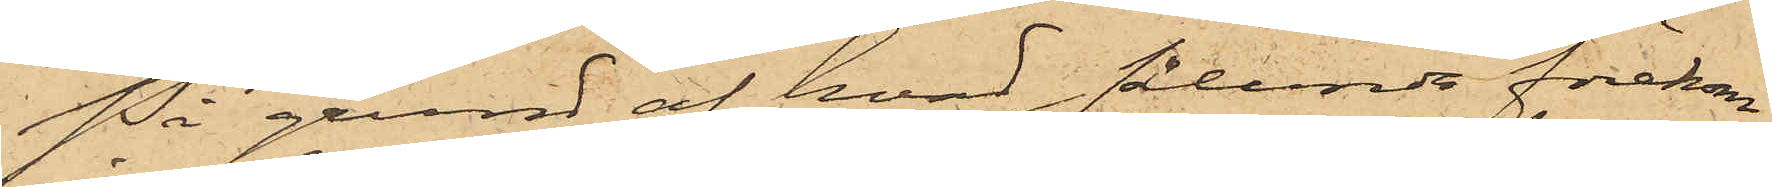På grund af hvad sålunda förekom¬
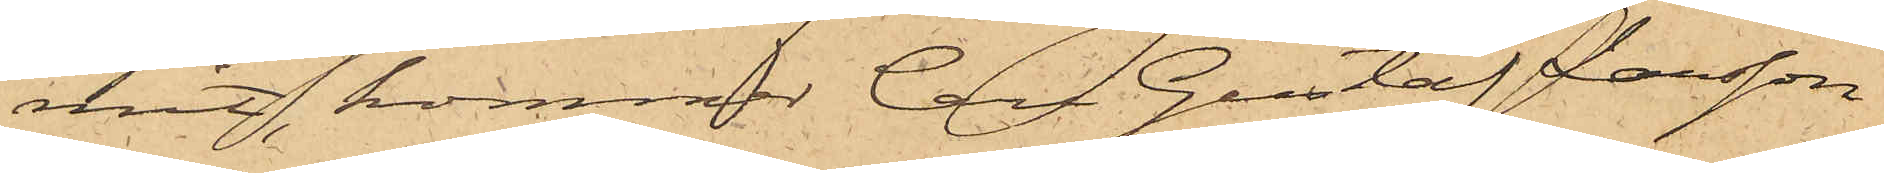mit, kommer Carl Gustaf Larsson
